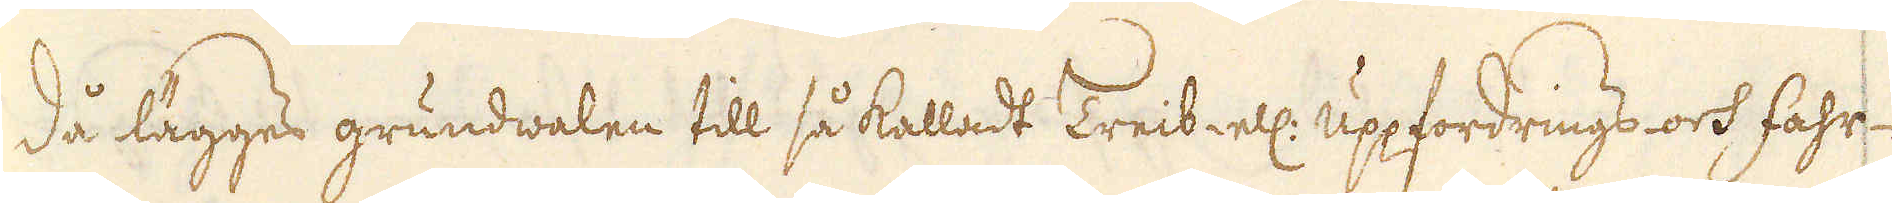då lägges grundwalen till så kalladt Treib- ell: uppfordrings- och fahr-
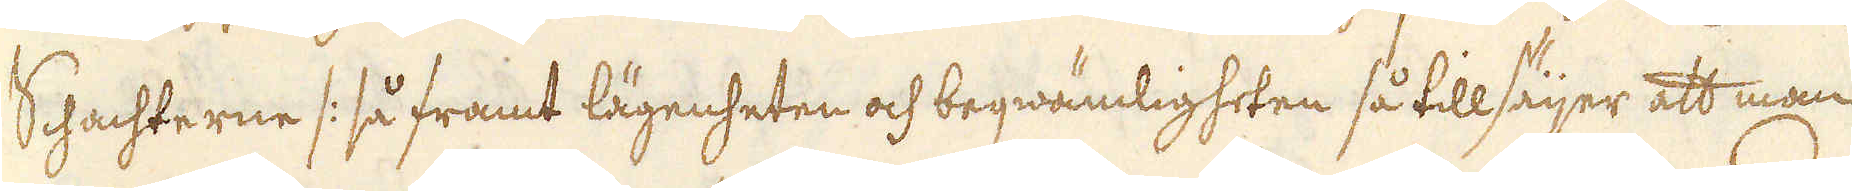Schachterne /: så framt lägenheten och beqwämligheten så tillsäijer att man
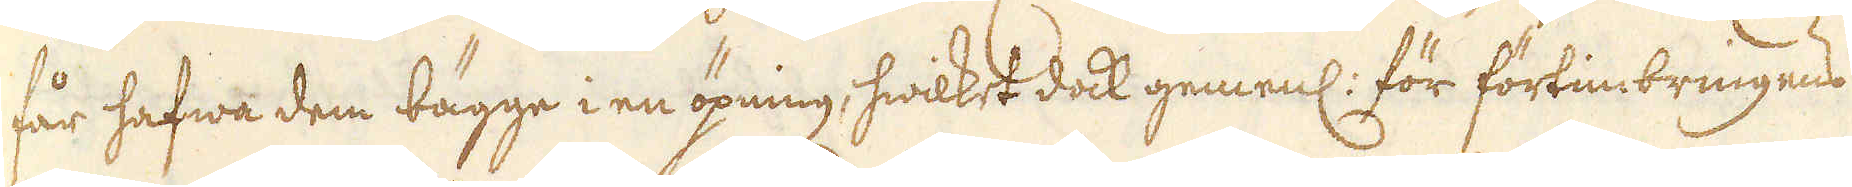får hafwa dem bägge i en öpning, hwilket dock gemenl: för förtimbringens
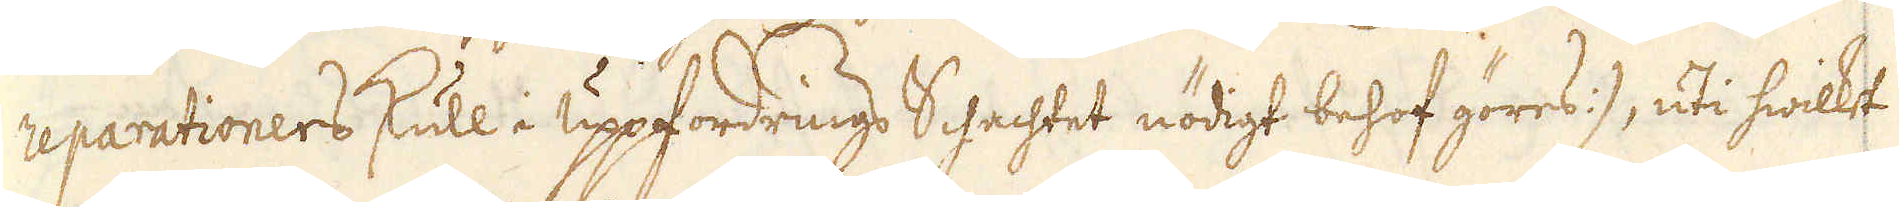reparationers skull i uppfordrings Schachtet nödigt behof göres :/, uti hwilket
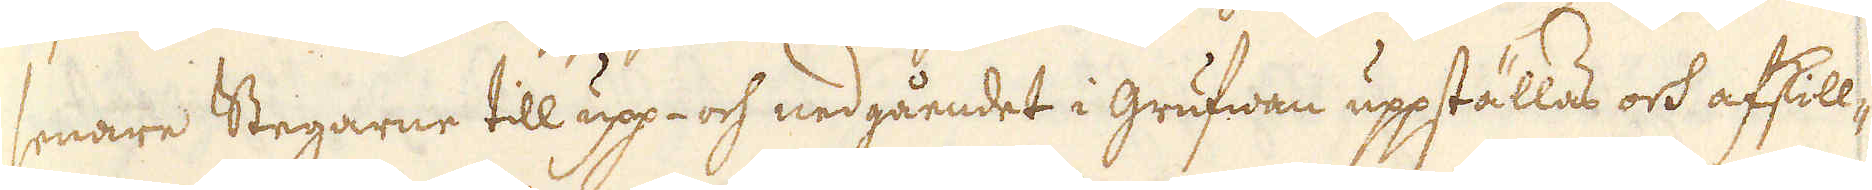senare Stegarne till upp- och nedgåendet i grufwan uppställas och afskill-
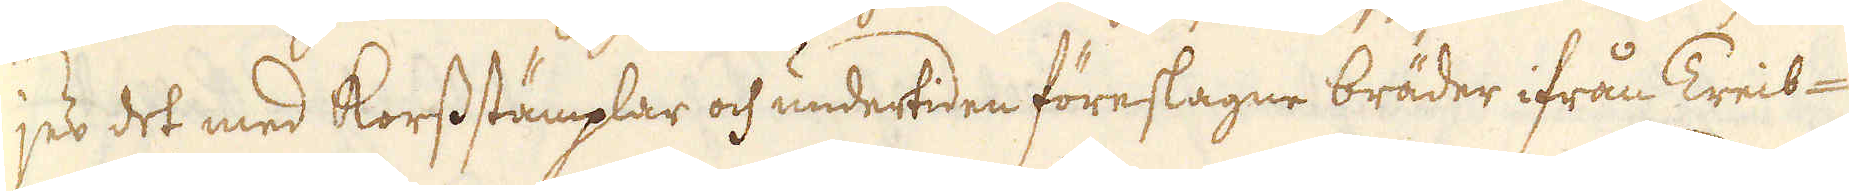jes det med Korss stämplar och undertiden föreslagne bräder ifrån Treib-
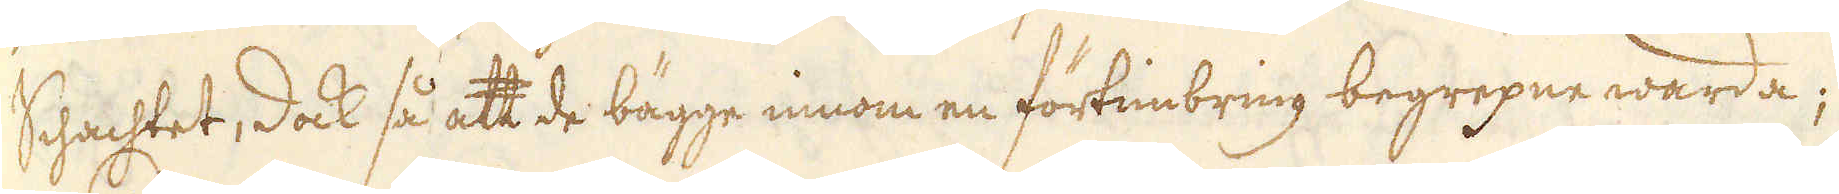Schachtet, dock så att de bägge innom en förtimbring begrepne warda;
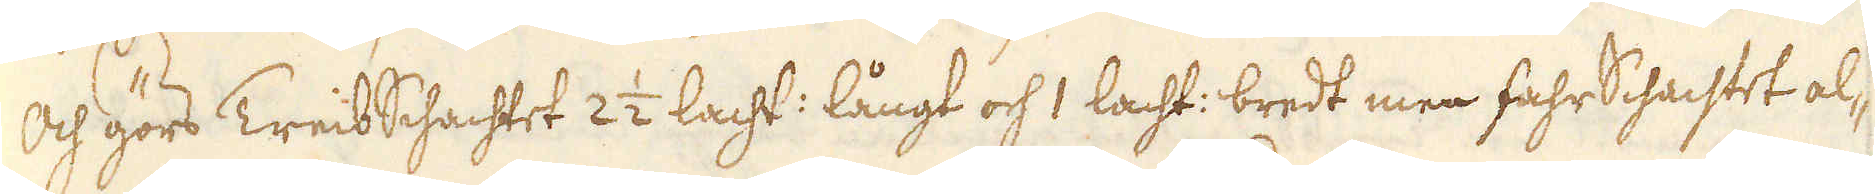Och görs Treib Schachtet 2 1/2 lacht: långt och 1 lacht: bredt men fahr Schachtet al-
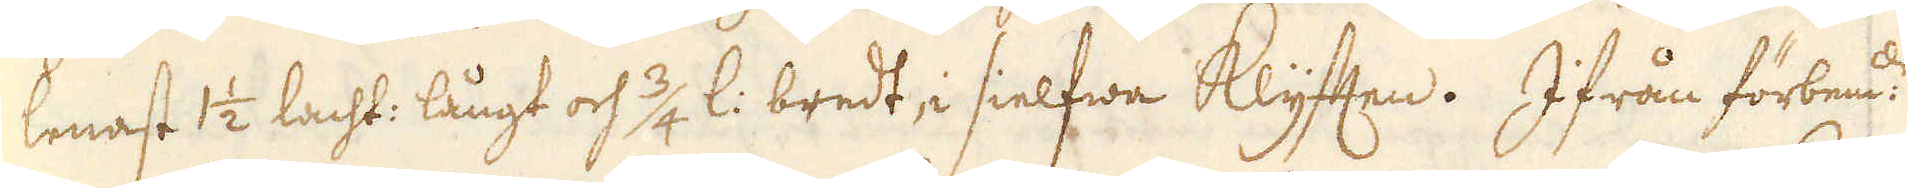lenast 1 1/2 lacht: långt och 3/4 l: bredt, i sielfwa Klyften. Ifrån förbem:de
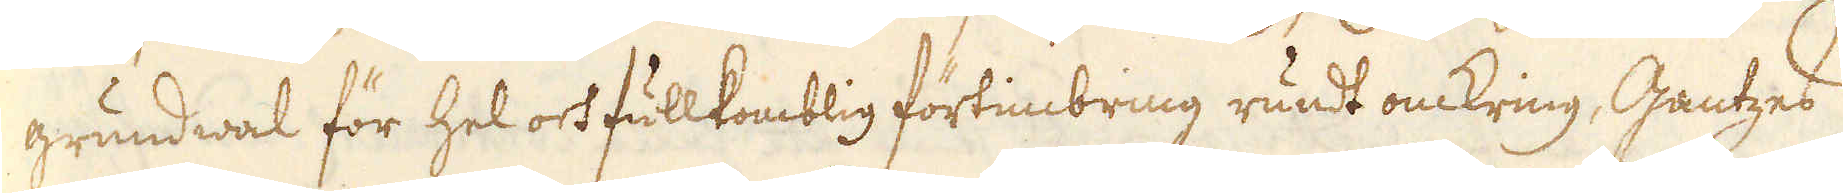grundwal för hel och fullkomblig förtimbring rundt omkring, Gantzes
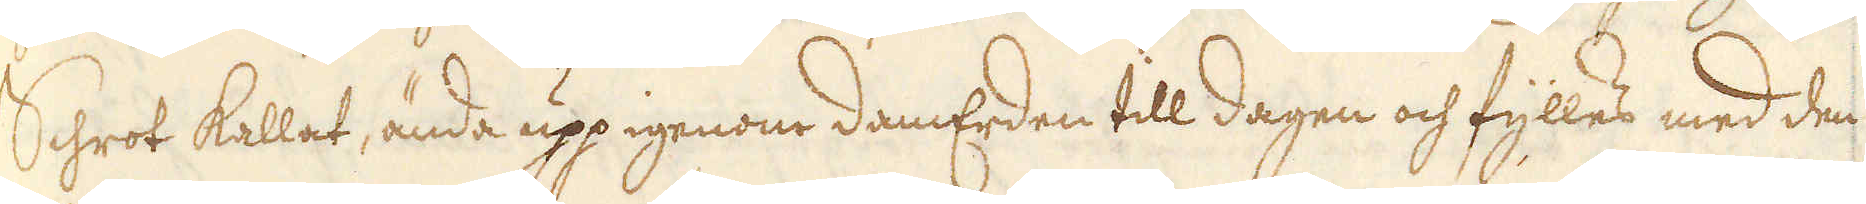Schrot kallat, ända upp igenom DamErden till dagen och fylles med den
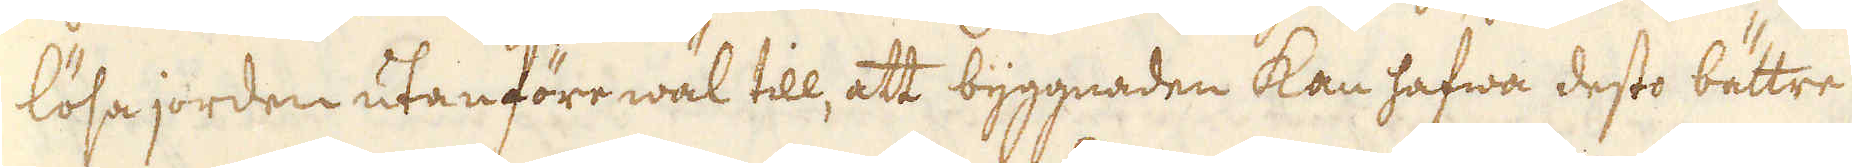lösa jorden utanföre wäl till, att byggnaden kan hafwa desto bättre
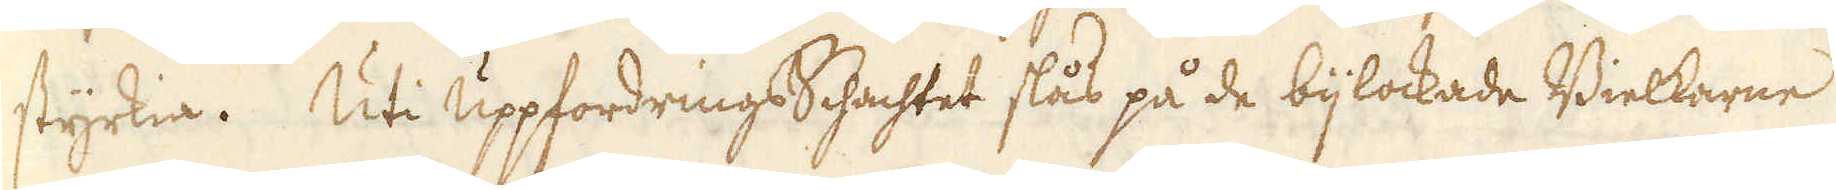styrkia. Uti UppfordringsSchachtet slås på de bijlockade Bielkarne
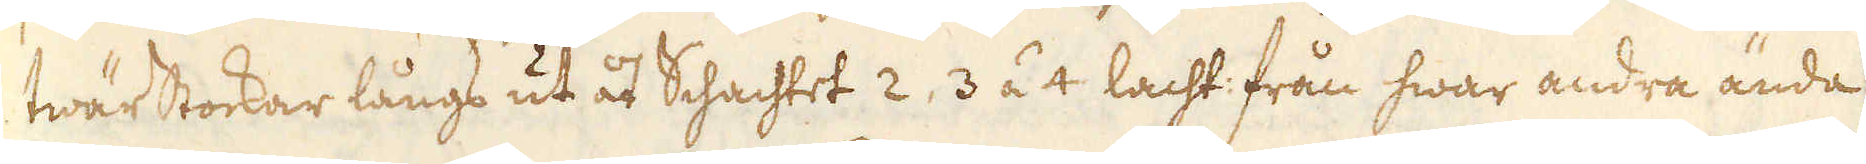twärstockar långs ut åt Schachtet 2, 3 á 4 lacht: från hwar andra ända
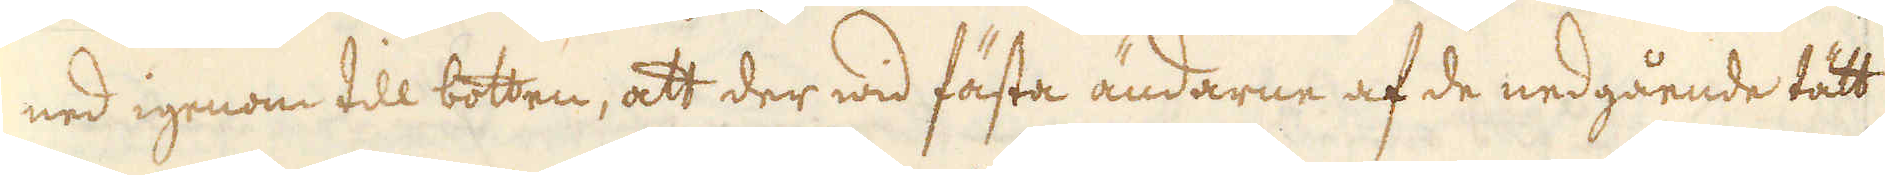ned igenom till botten, att der wid fästa ändarne af de nedgående tätt
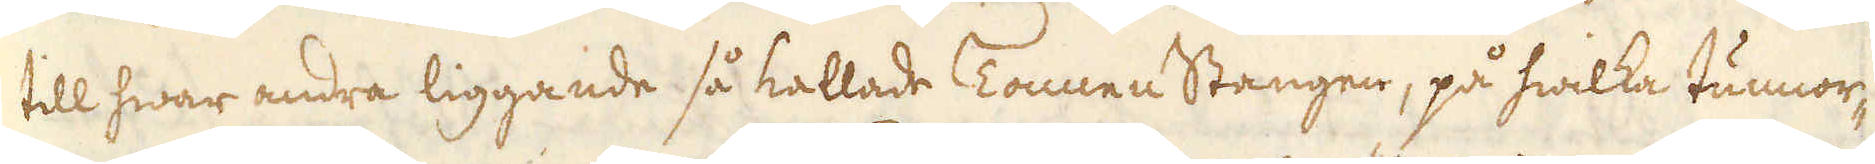till hwar andra liggande så kallade Tonnen Stangen, på hwilka tunnor-
